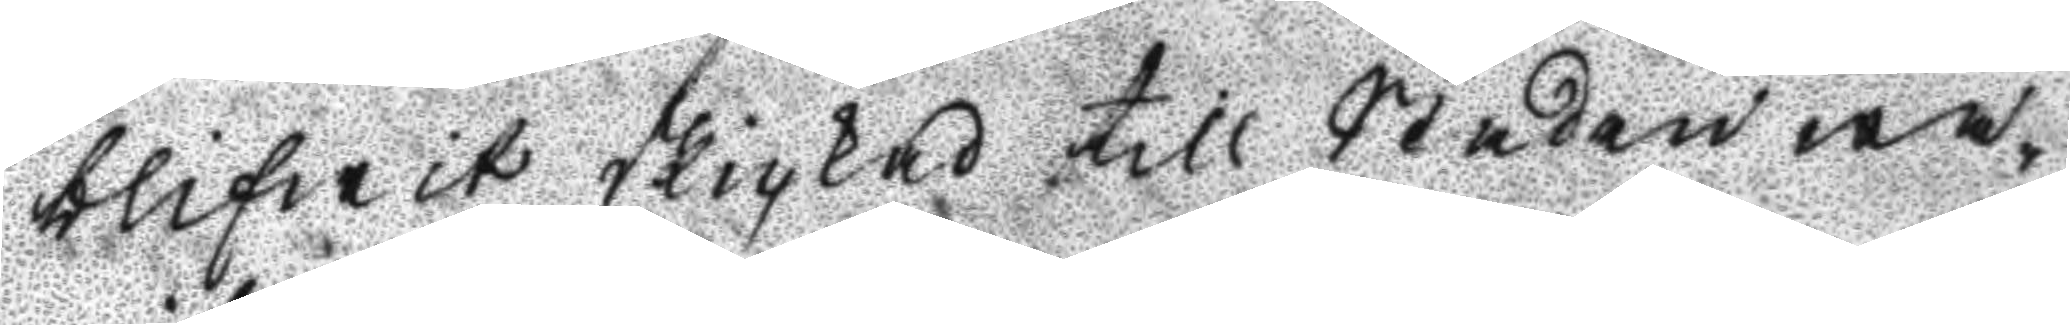blifwit skickad till Staden wa¬
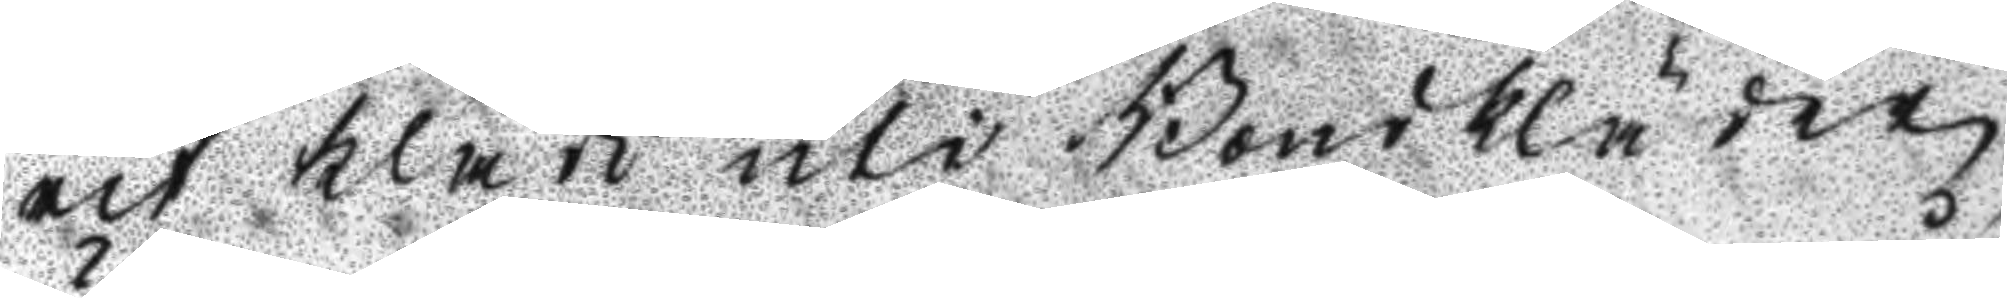rit klädd uti Bondkläder,
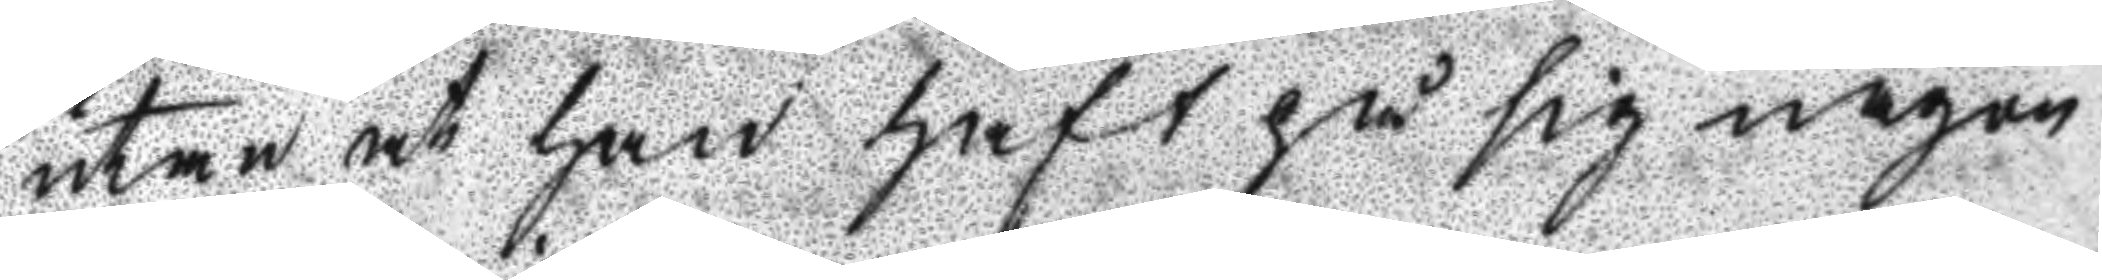utan at han haft på sig någon
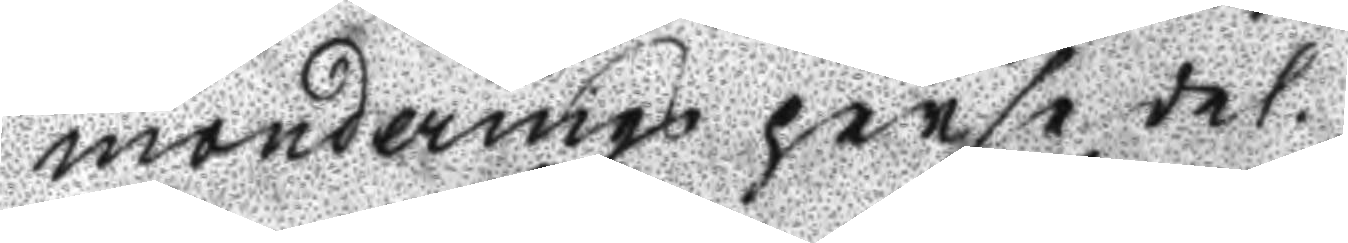monderings persedel.
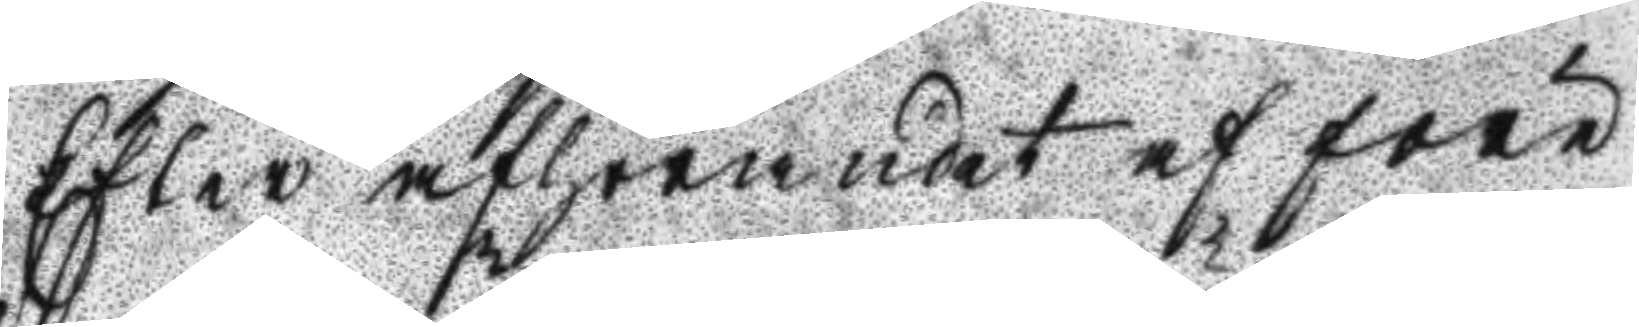Efter afhörandet af före¬
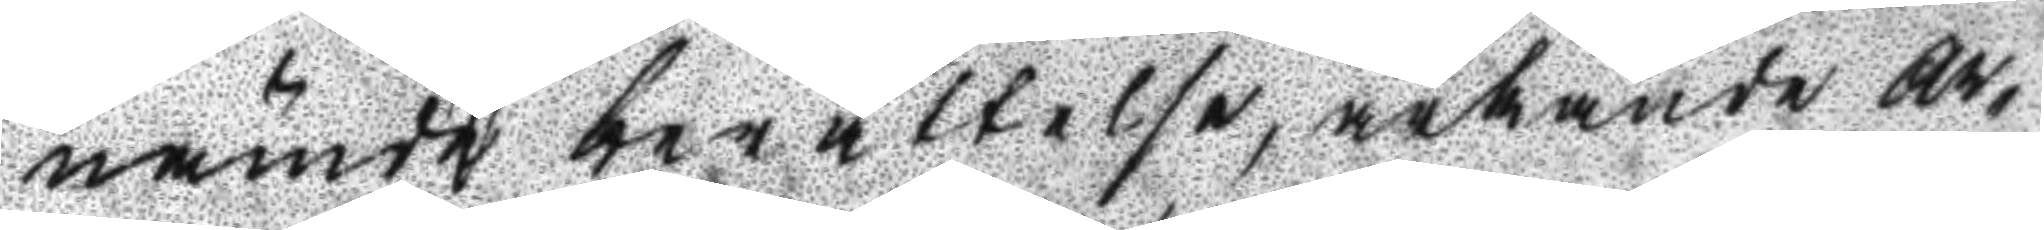nämde berättelse, ärkände Ar¬
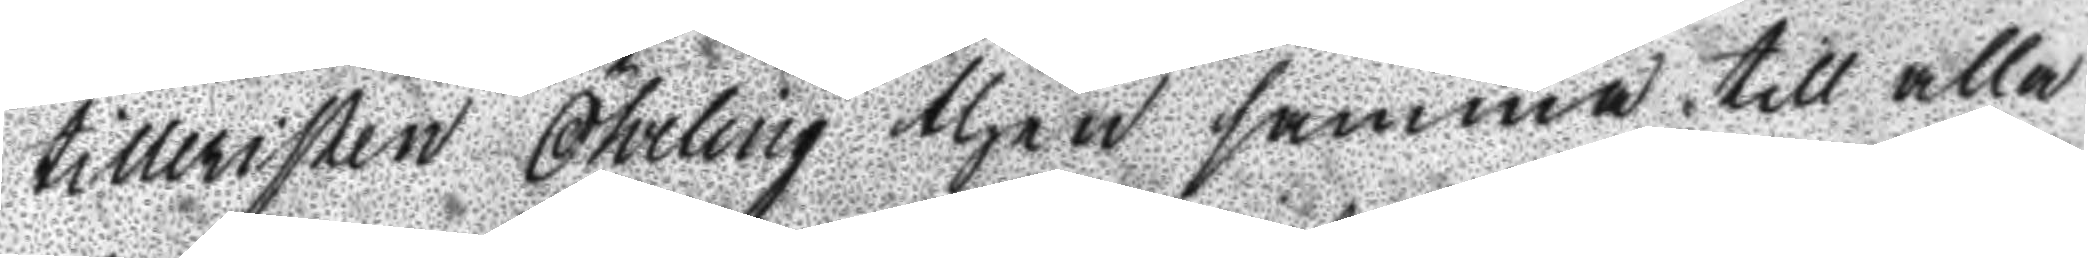tilleristen Öhrilng then samma till alla
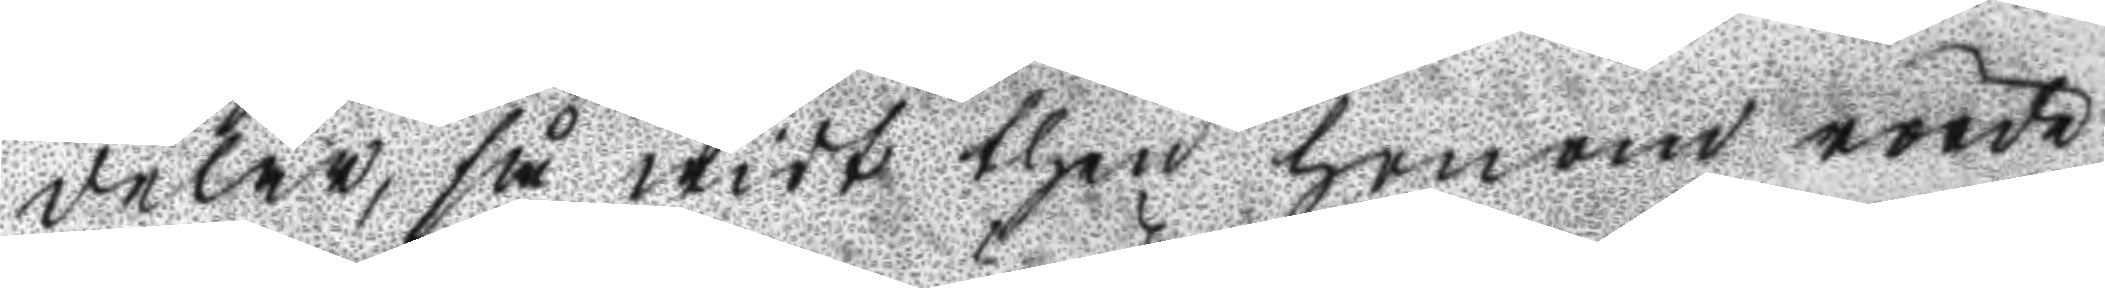delar, så widt then honom rörde,
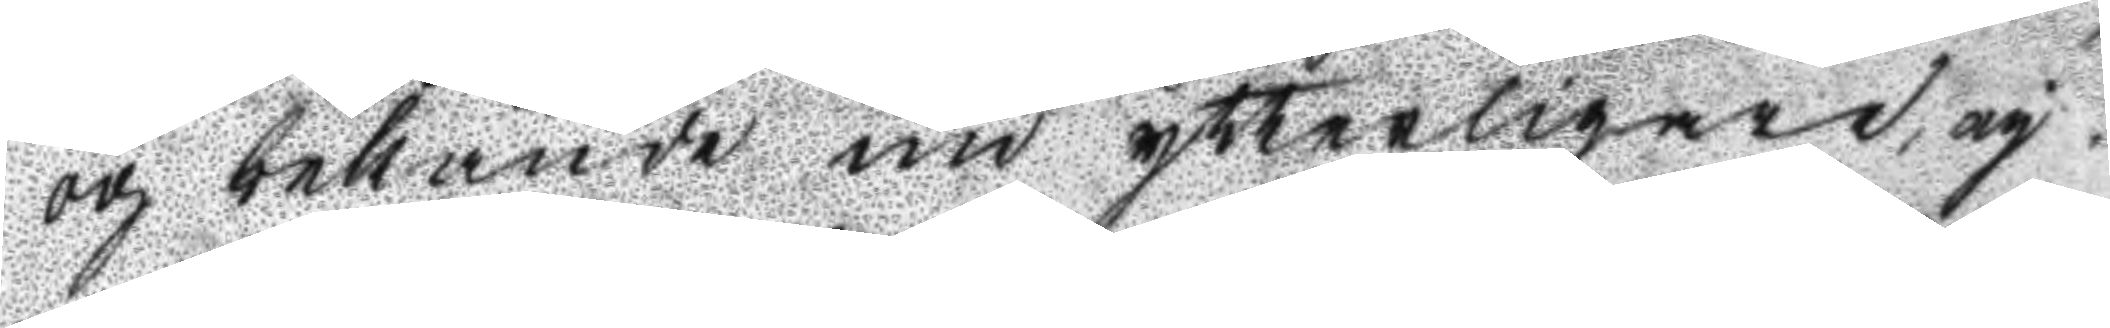och bekände nu ytterligare, ey
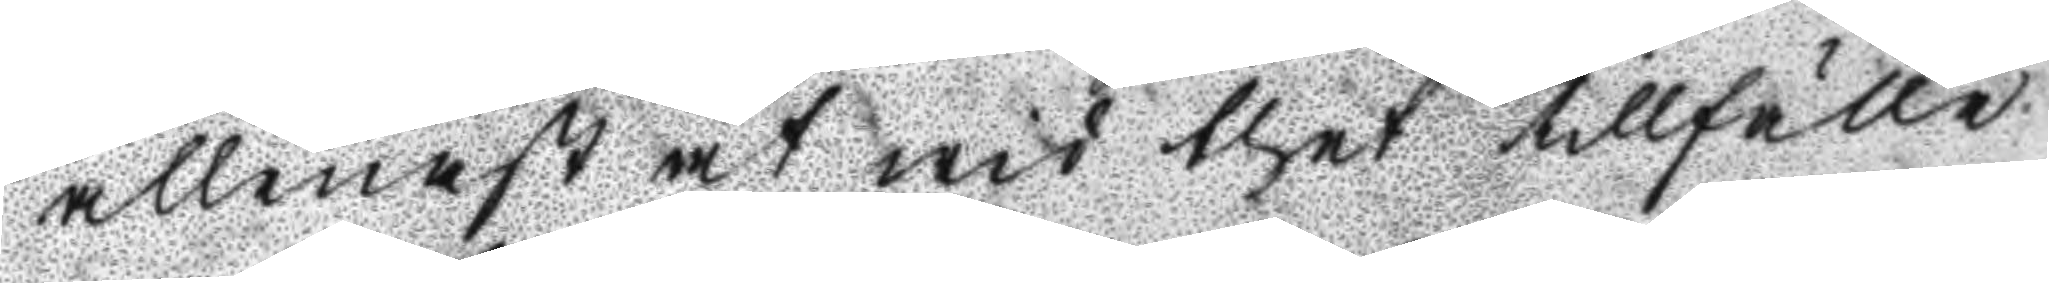allenast at wid thet tillfälle
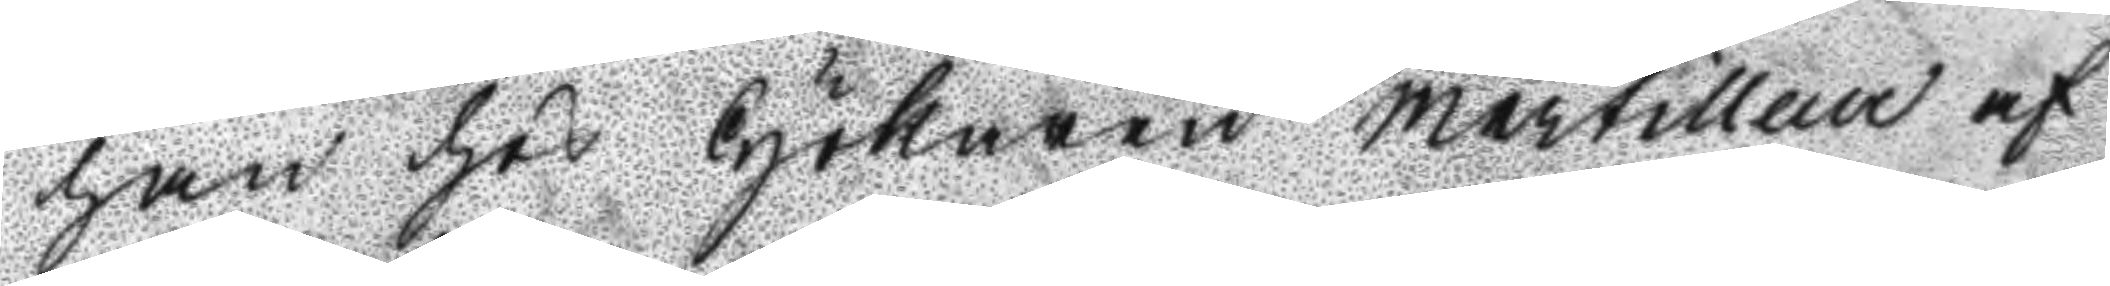han hos Hökaren Mertilleur af
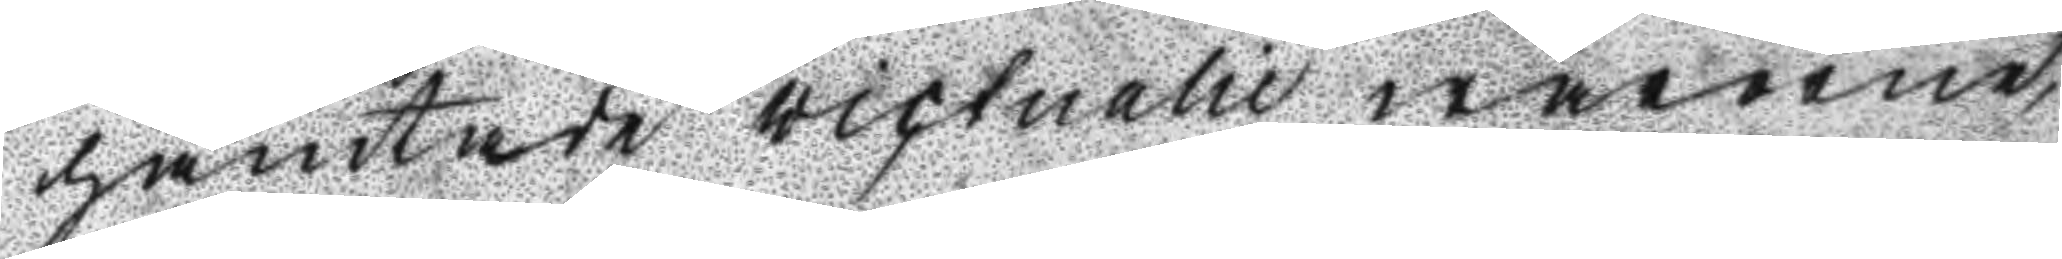hämtade victualie warorne,
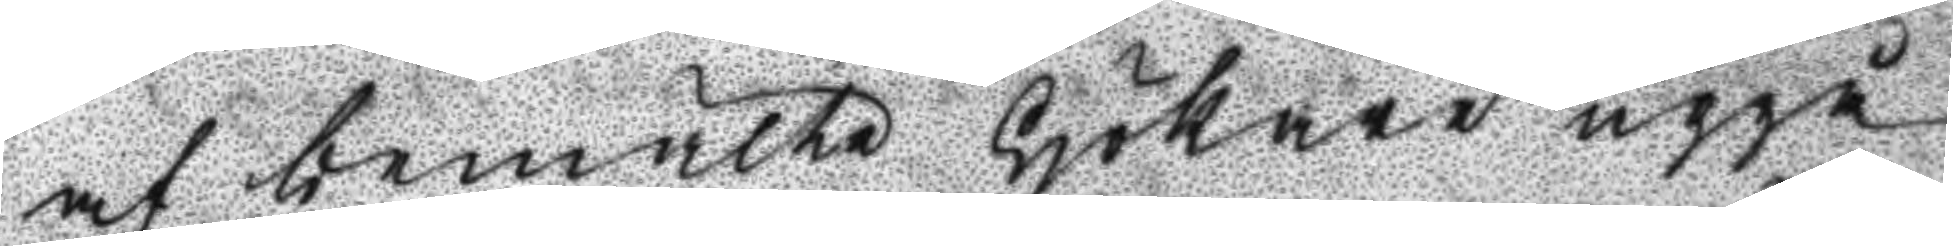af bemälte Hökare uppå
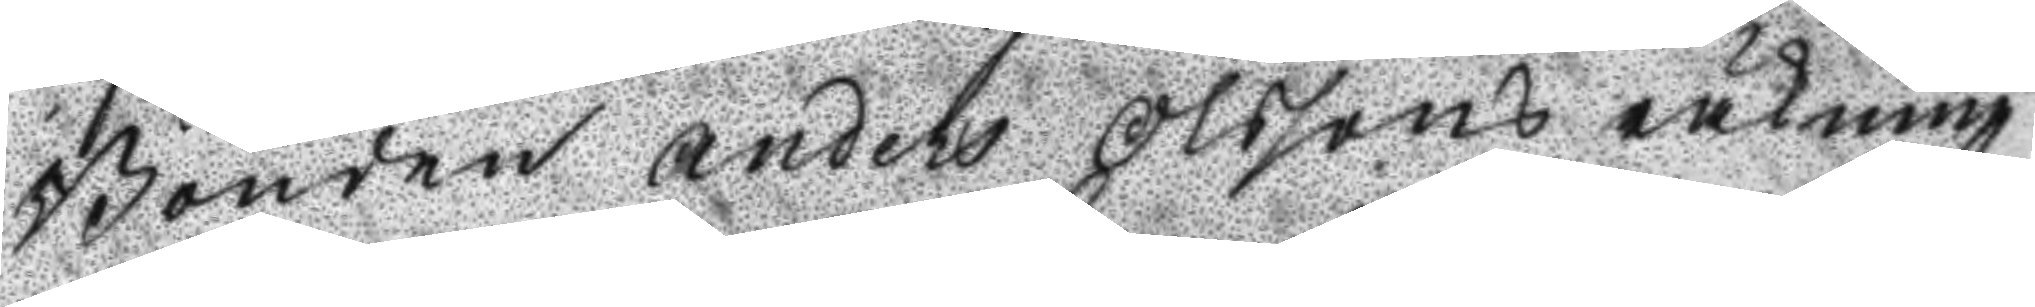Bonden Anders Olssons räkning
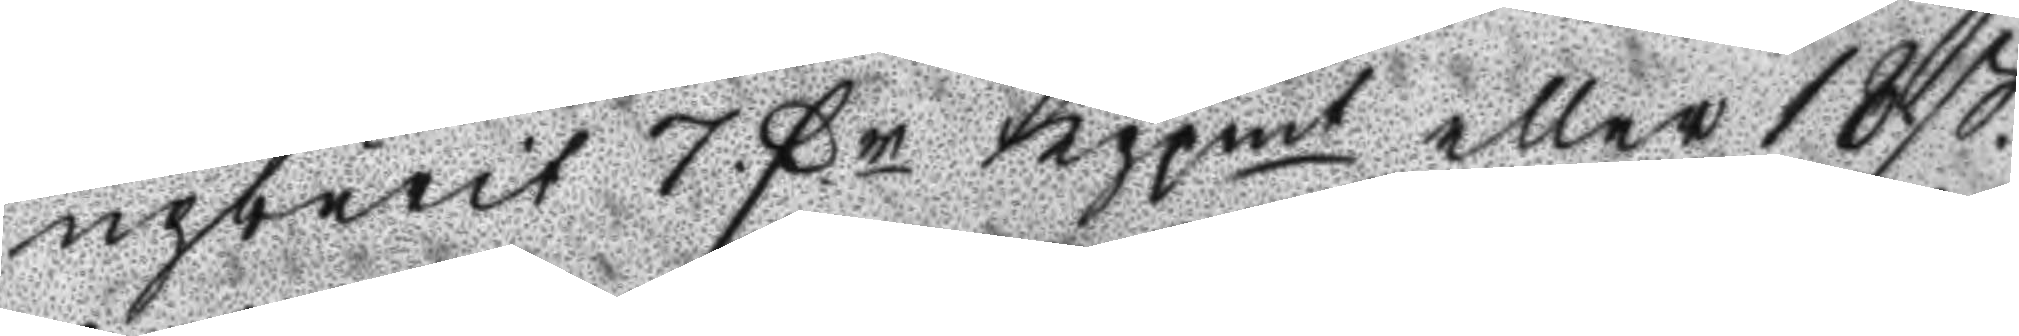upburit 7 Fr Kppmt eller 18 ß.
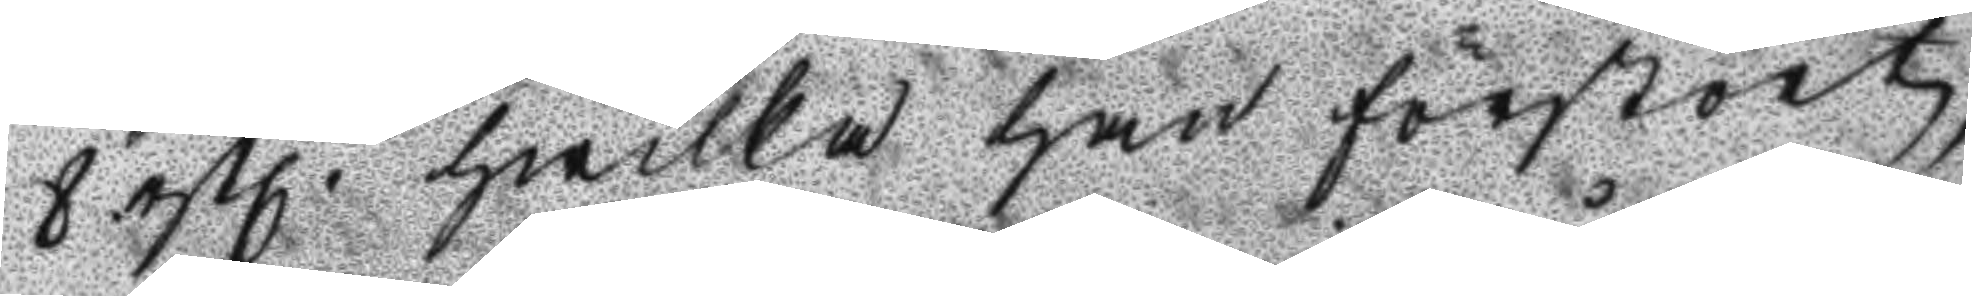8. rßl. hwilka han förstört;
